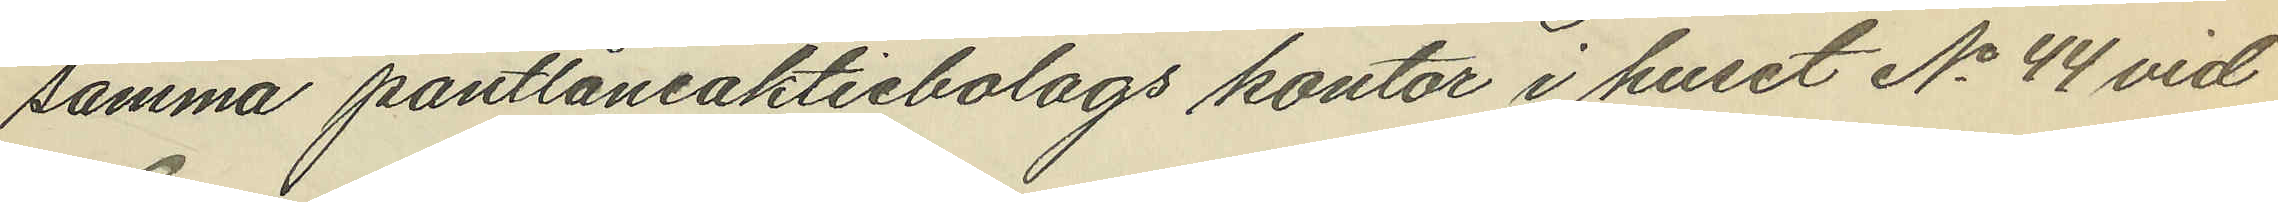samma pantlåneaktiebolags kontor i huset No 44 vid
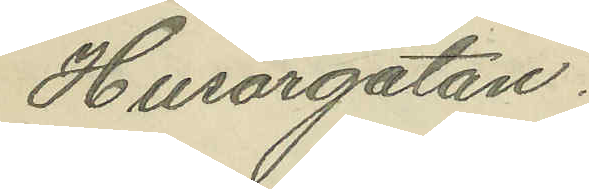Husargatan.
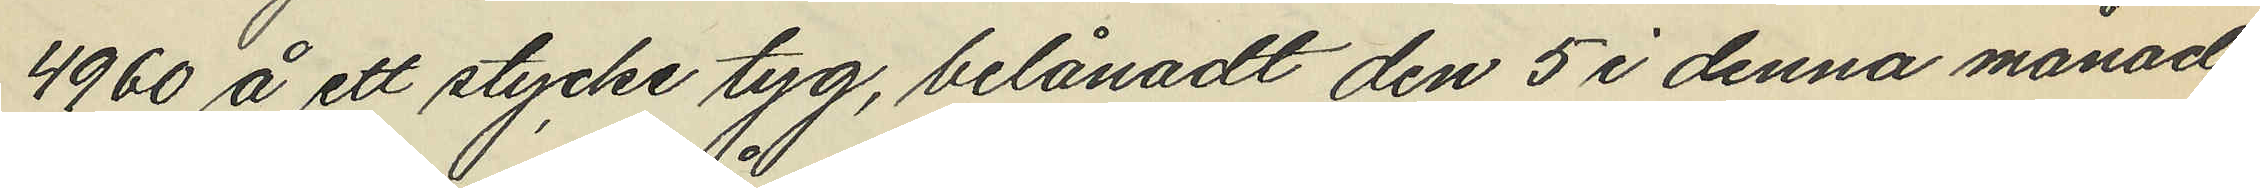4960 å ett stycke tyg, belånadt den 5 i denna månad
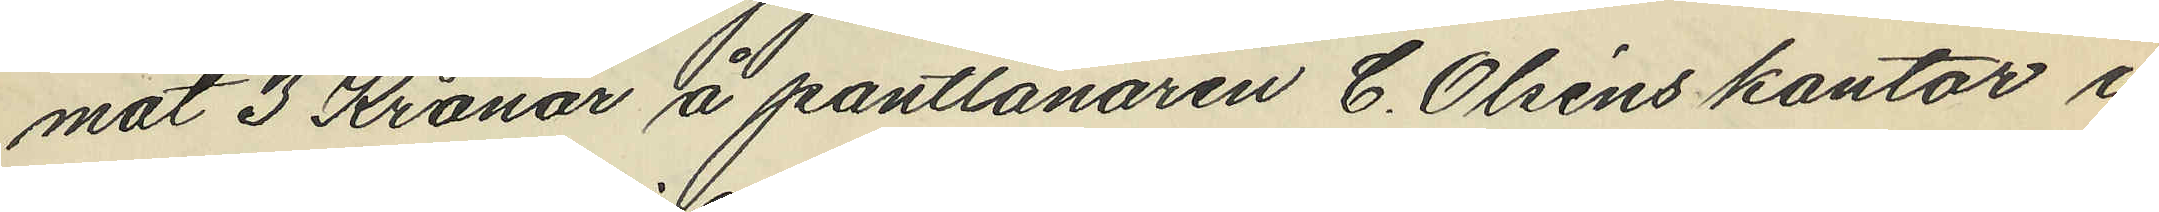mot 3 Kronor å pantlånaren C. Olséns kontor i
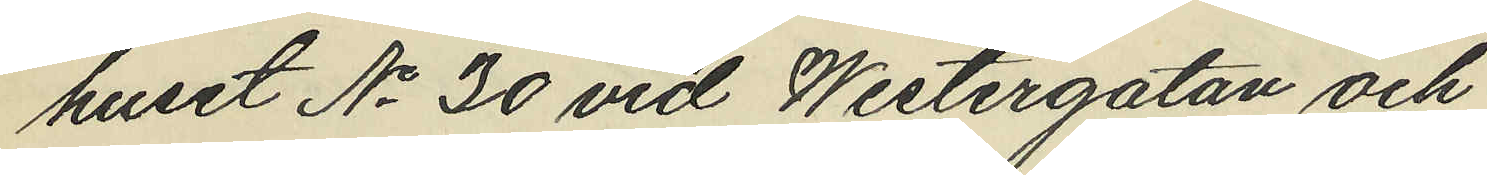huset No 30 vid Westergatan och
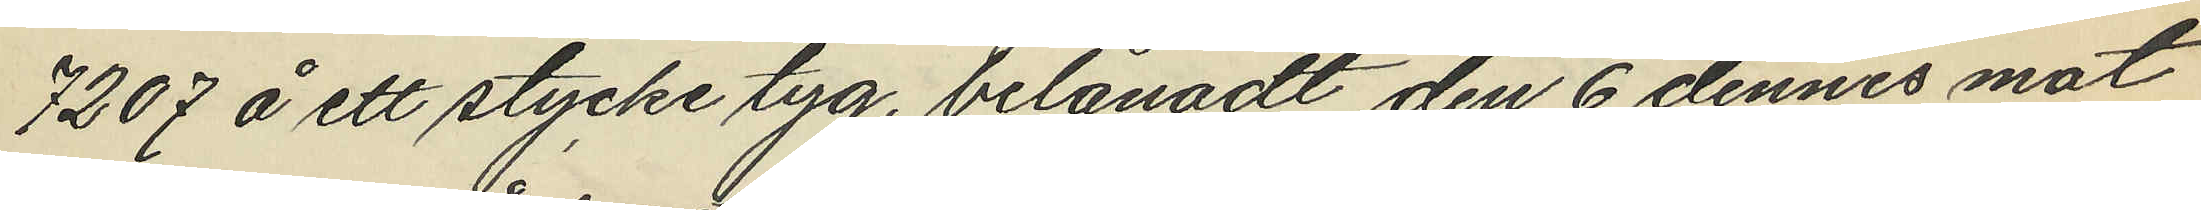7207 å ett stycke tyg, belånadt den 6 dennes mot
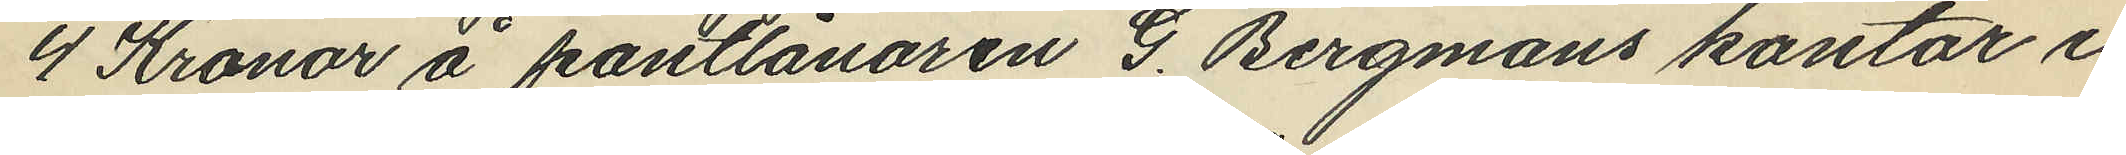4 Kronor å pantlånaren G. Bergmans kontor i
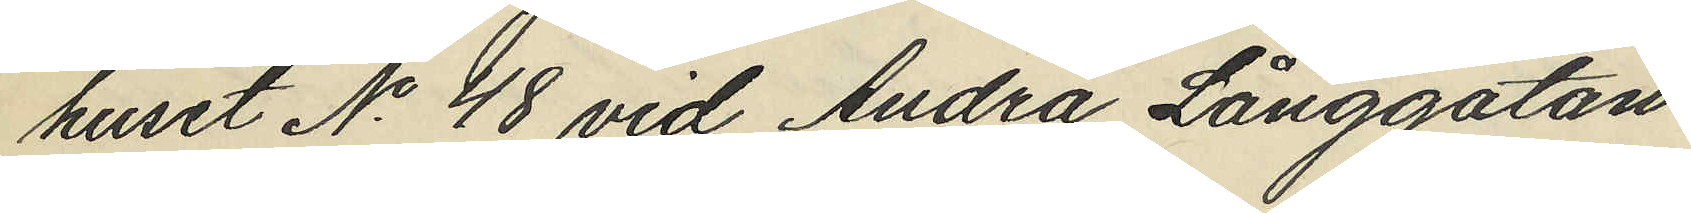huset No 48 vid Andra Långgatan
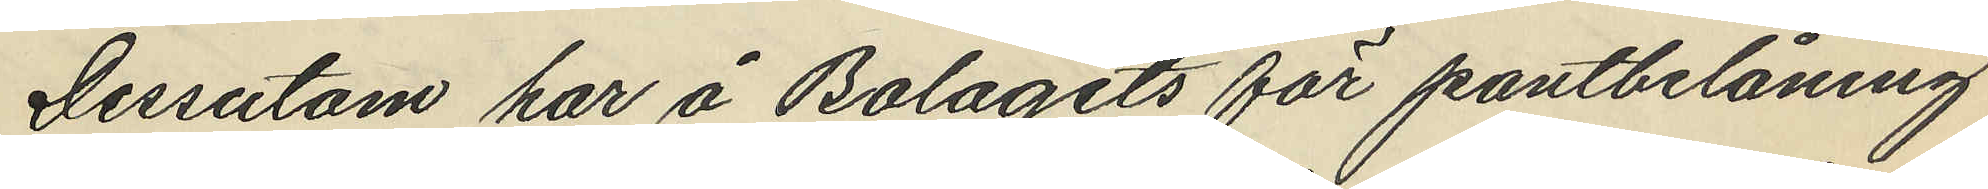Dessutom har å Bolagets för pantbelåning
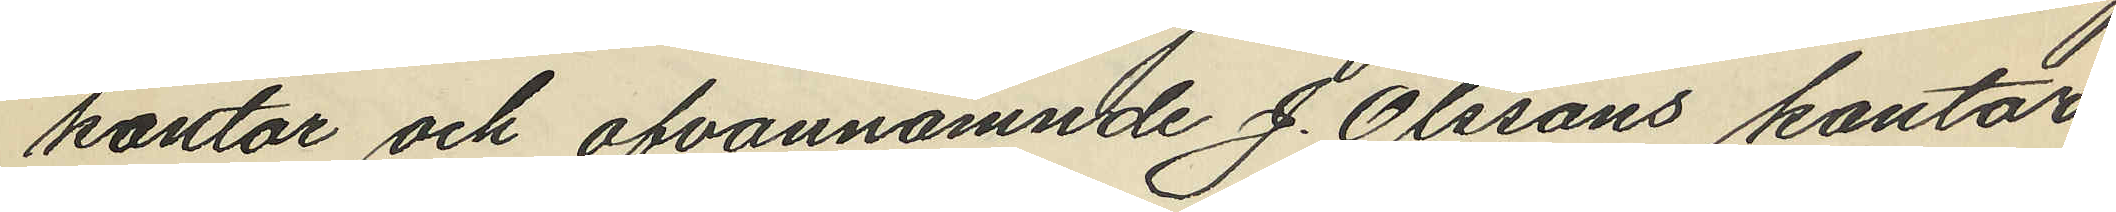kontor och ofvannämnde J. Olssons kontor
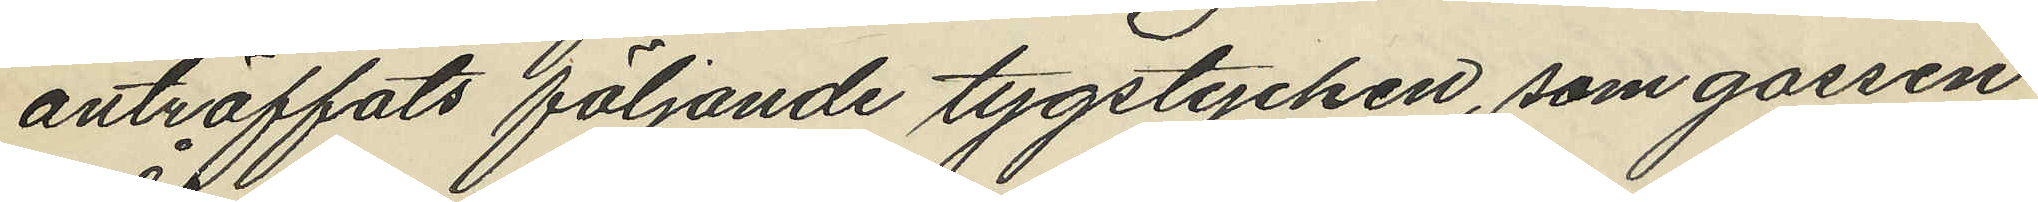anträffats följande tygstycken, som gossen
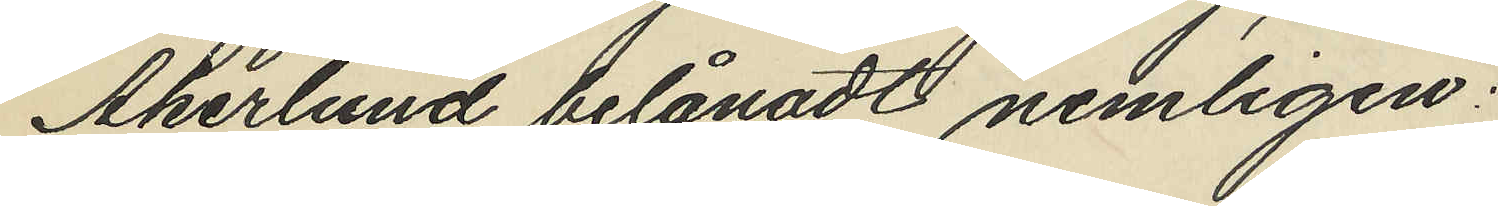Åkerlund belånadt nemligen:
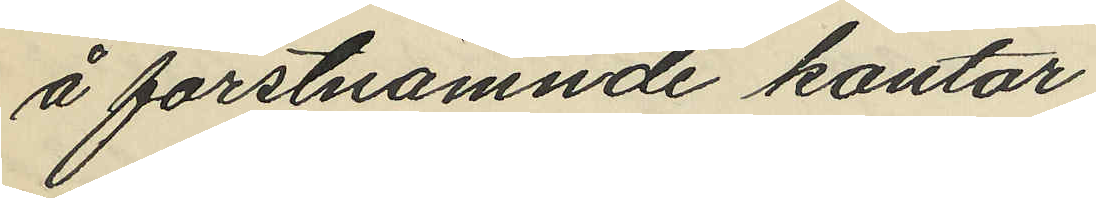å förstnämnde kontor
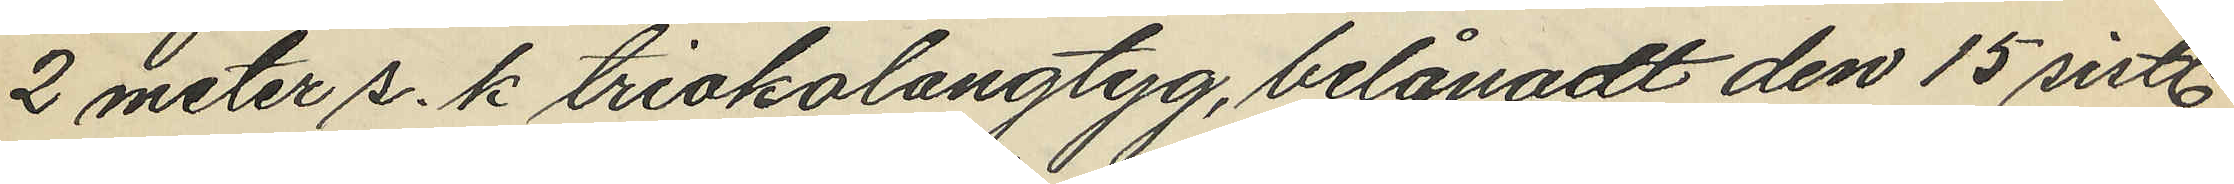2 meter s.k triokolangtyg, belånadt den 15 sistl.
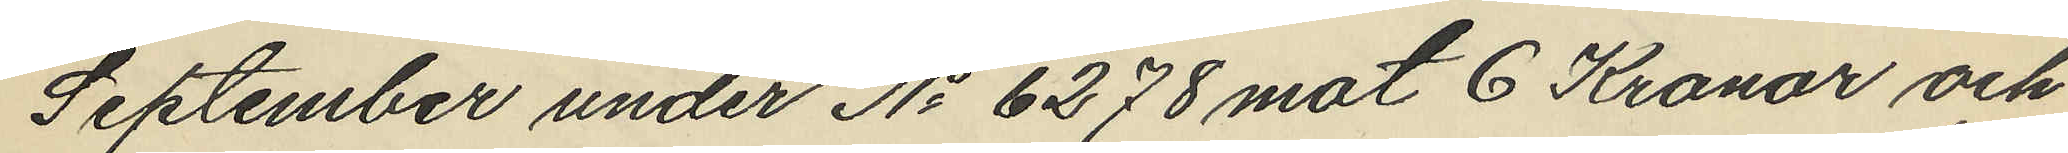September under No 6278 mot 6 Kronor och
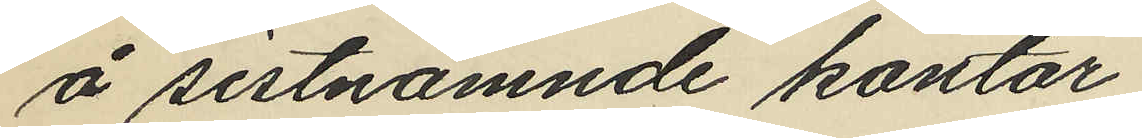å sistnämnde kontor
